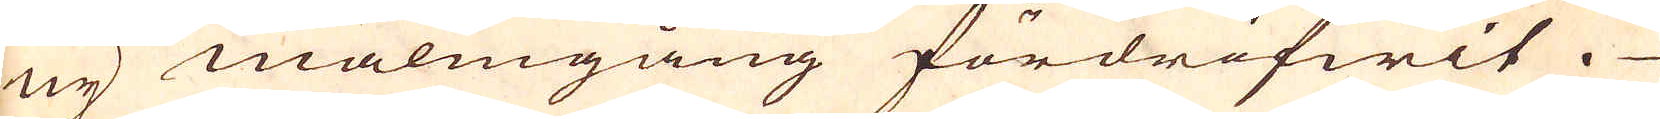ny malmgång fördrifwit.
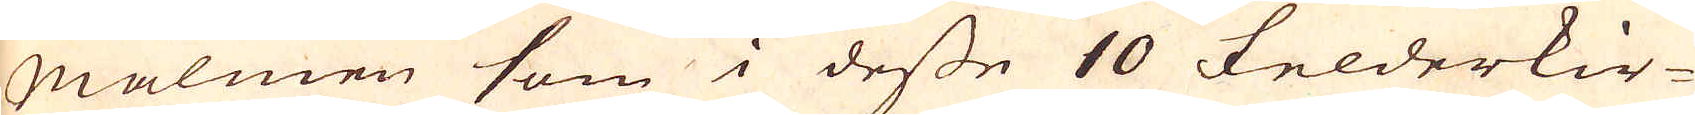Malmen som i desse 10 Felderkir-
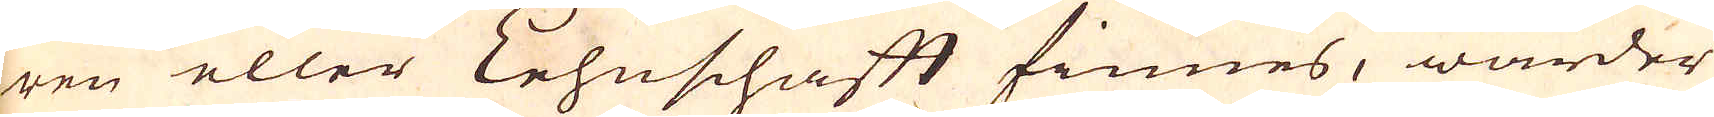ren eller Lehnschaft finnes, warder
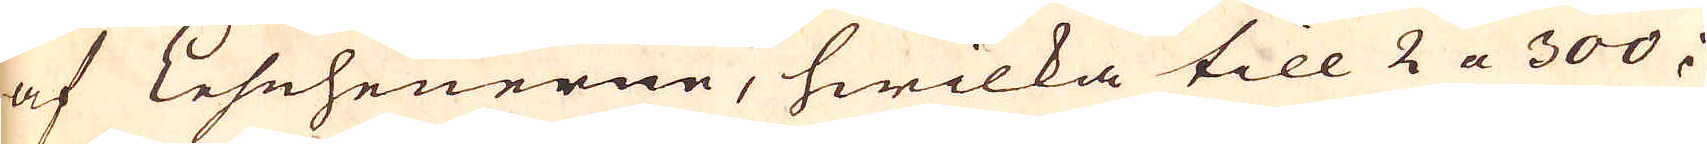af Leseheuerne, hwilka till 2 a 300 i
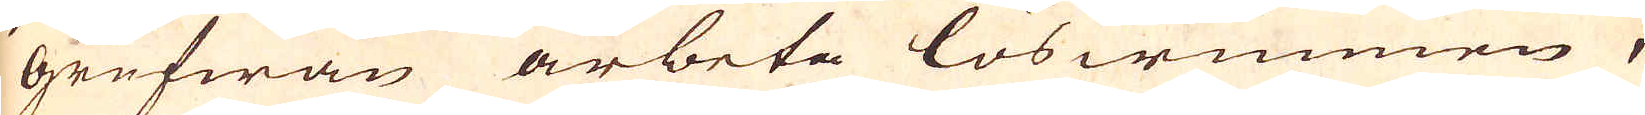grufwan arbeta loswunnen,
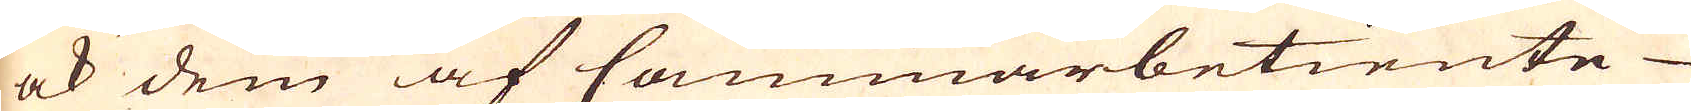ock dem af Cammarbetiente
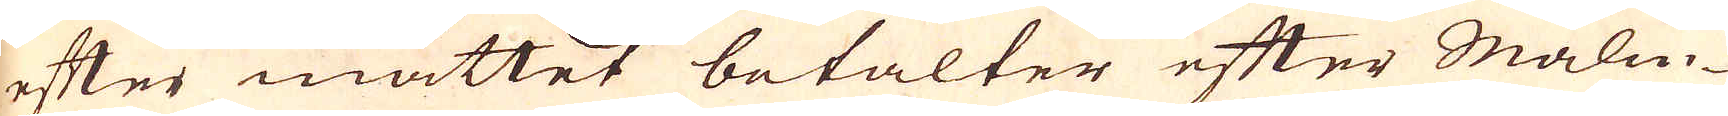efter måttet betalter efter Malm-
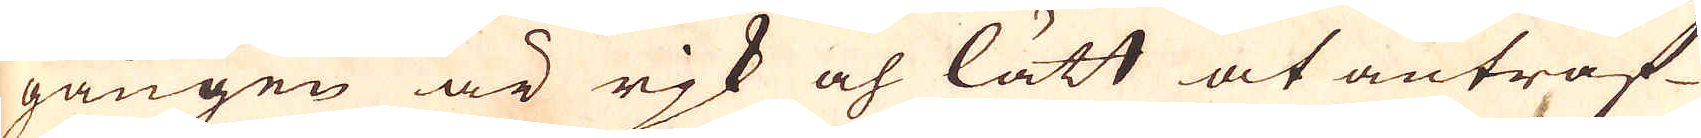gången är rjk och lätt at anträf-
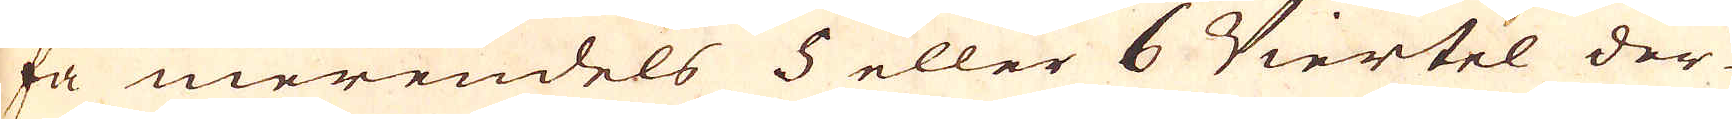fa merendels 5 eller 6 Viertel der-
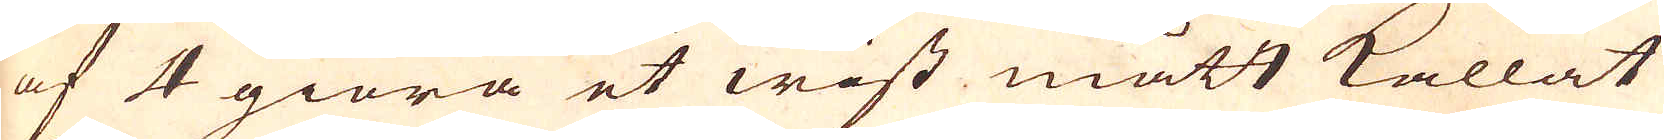af 4 giöra et wist mått kallat
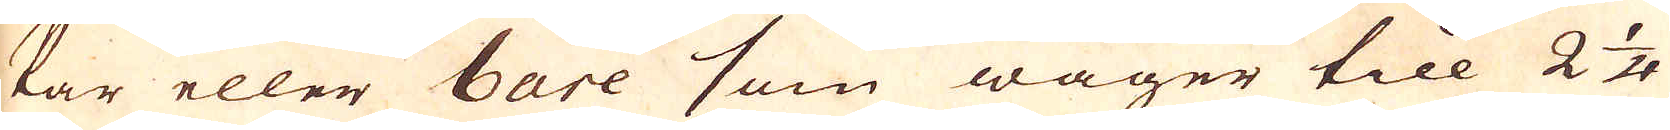kar eller bare som wäger till 2 1/4
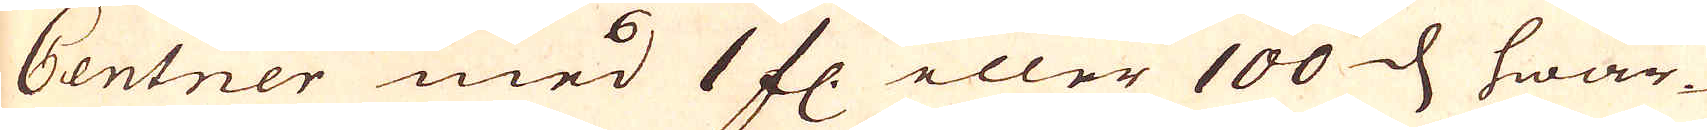Centner med 1 fl. eller 100 d, hwar-
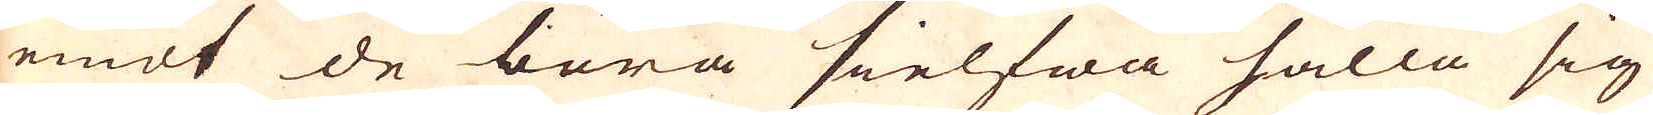emot de böra sielfwa hålla sig
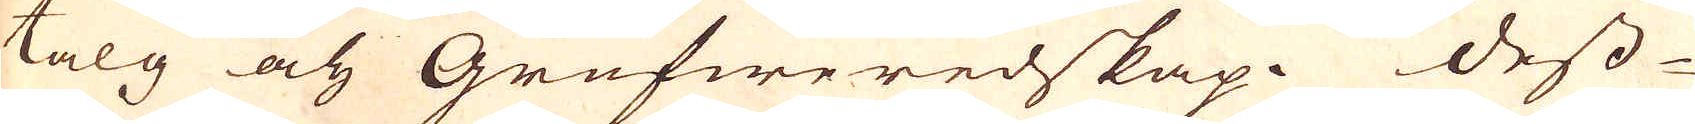talg och Grufweredskap. Dess-
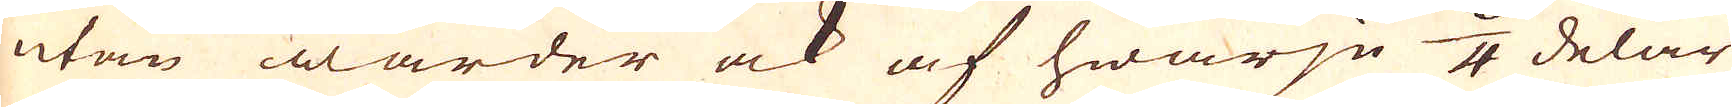utan warder ock af hwarje 8/4 delar
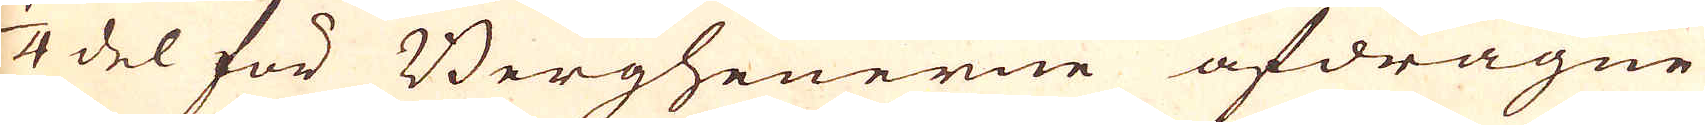1/4 del för Bergheuerne afdragne
